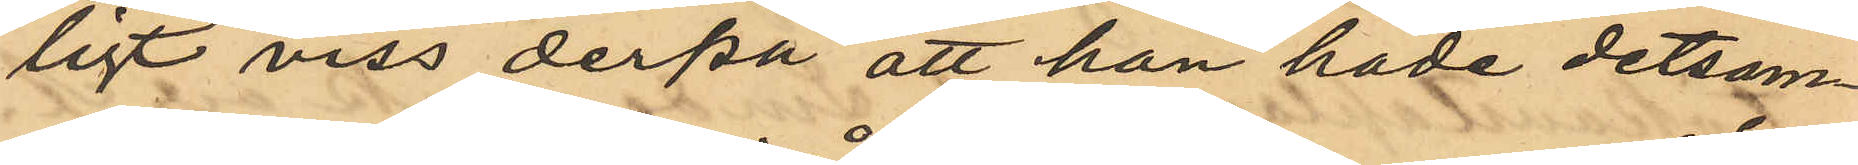ligt viss derpå att han hade detsam¬
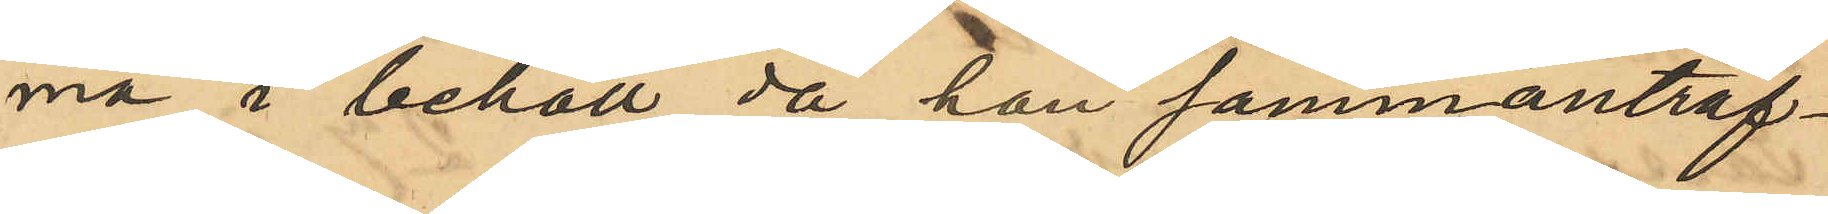ma i behåll, då han sammanträf¬
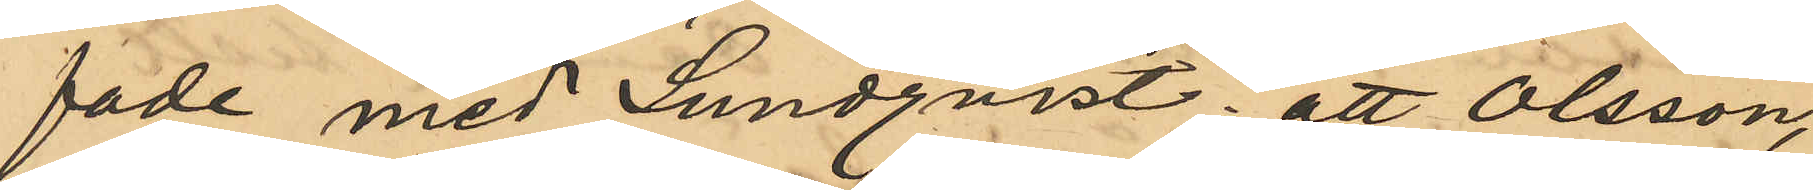fade med Lundqvist; att Olsson,
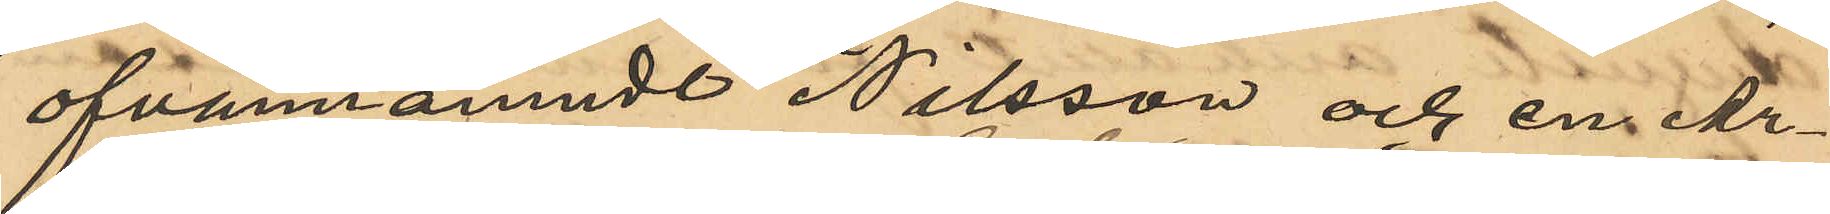ofvannämnde Nilsson och en Ar¬
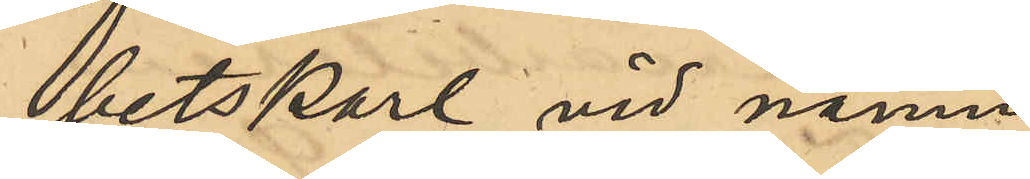betskarl vid namn
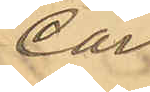Carl
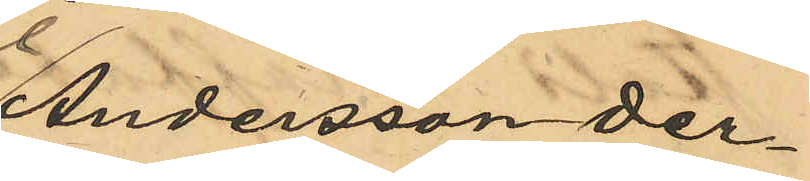Andersson de¬
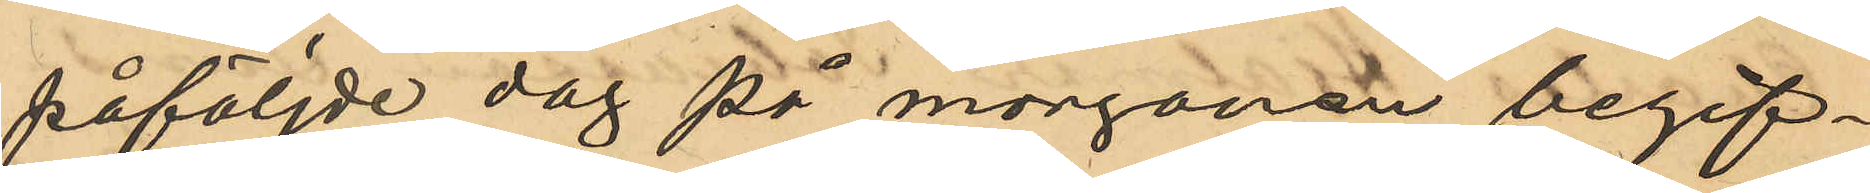påföljde dag på morgonen begif¬
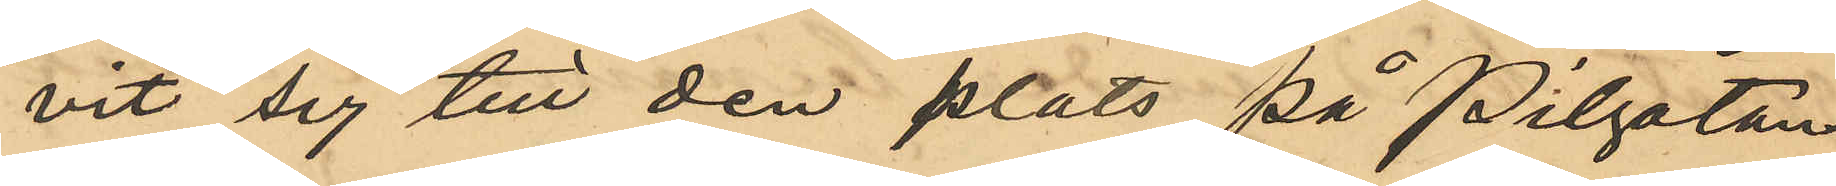vit sig till den plats på Pilgatan
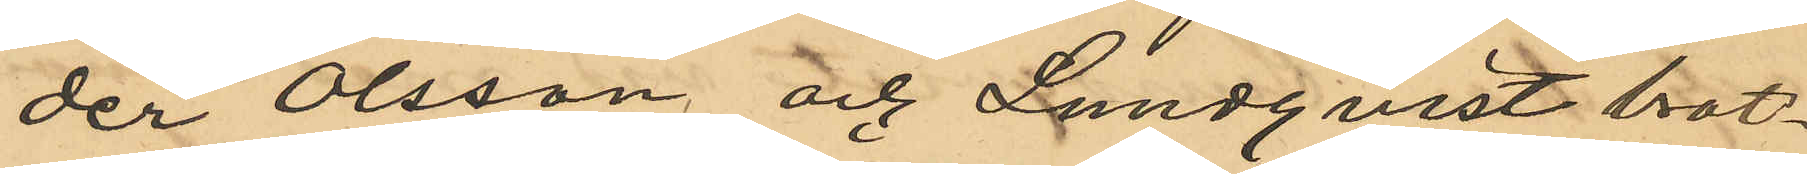der Olsson och Lundqvist brot¬
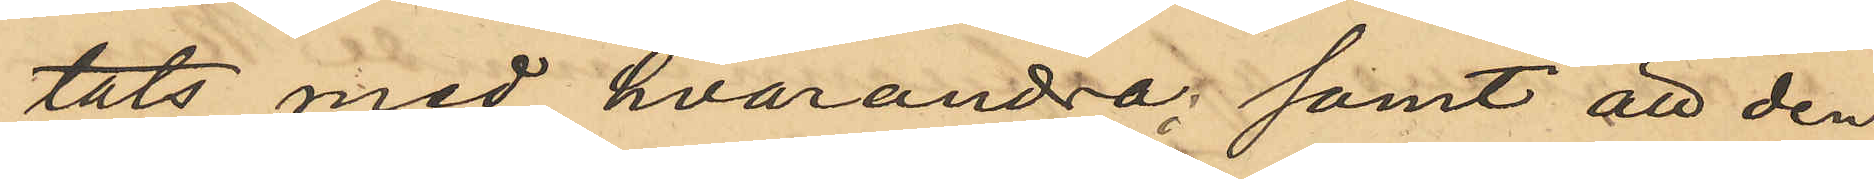tats med hvarandra, samt att den
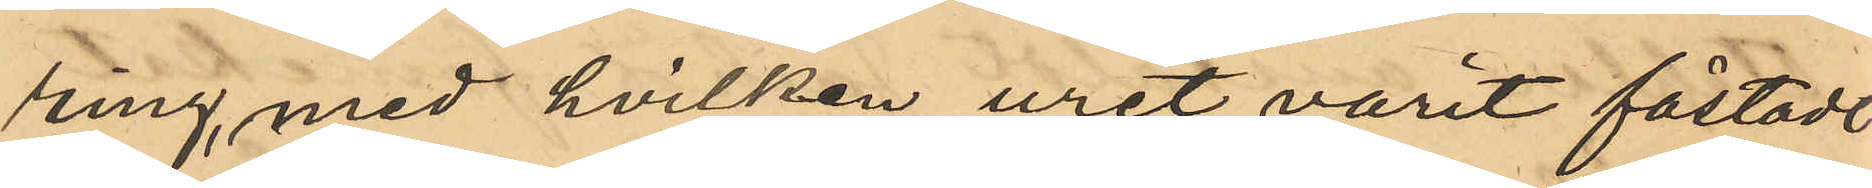ring, med hvilken uret varit fästadt
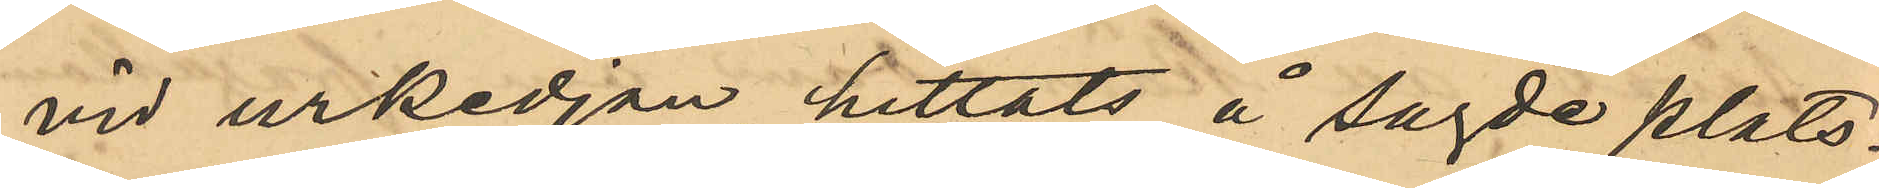vid urkedjan, hittats å sagde plats.
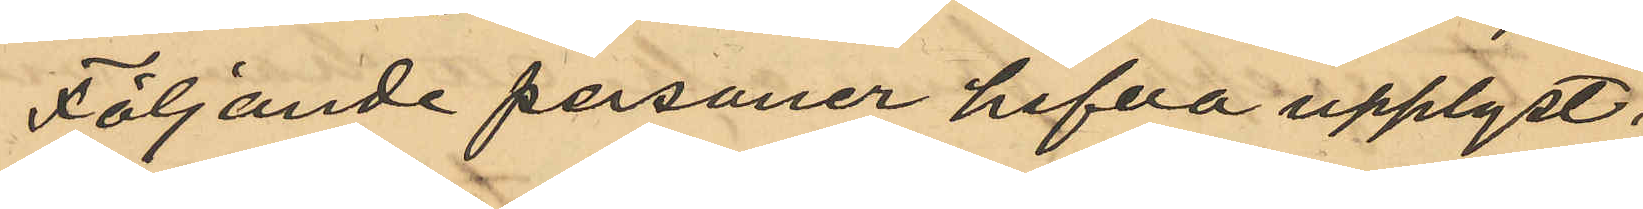Följande personer hafva upplyst:
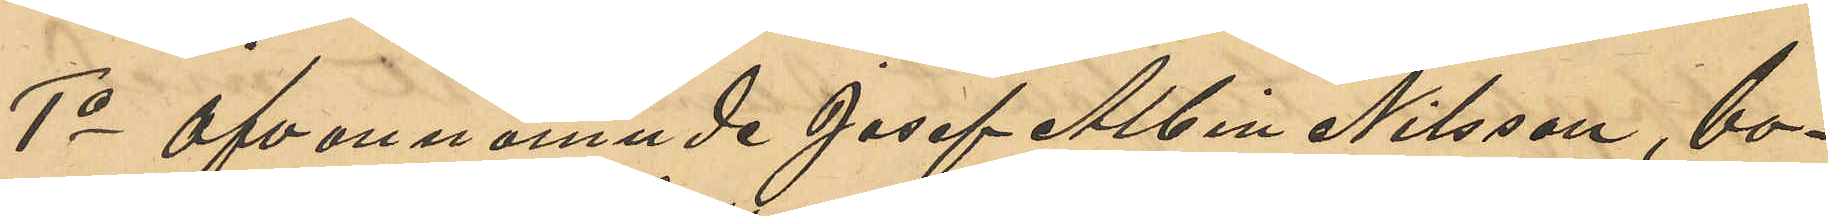1o Ofvannämnde Josef Albin Nilsson, bo¬
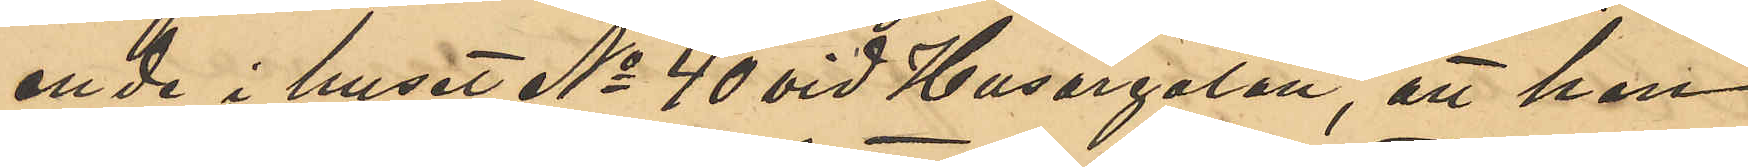ende i huset No 40 vid Husargatan, att han
